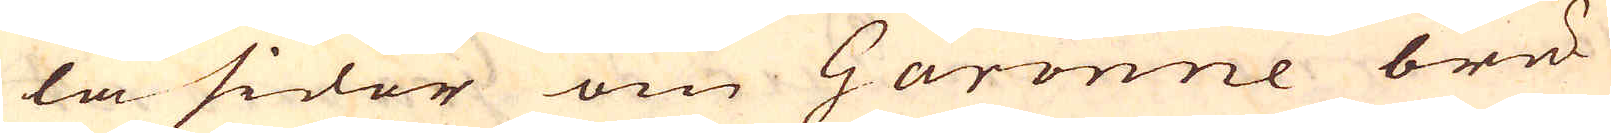la sidor om Garonne bru-
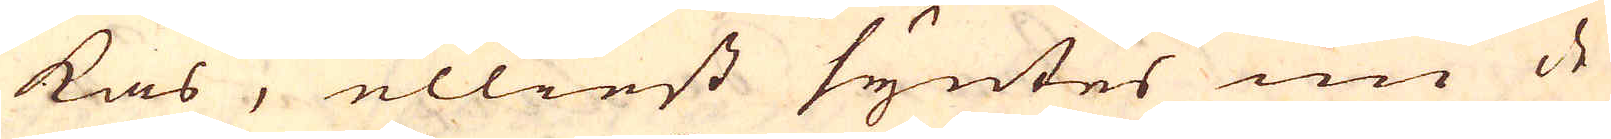kas, elliest syntes nu de
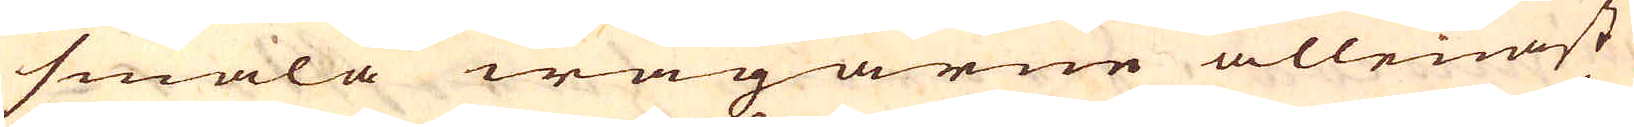smala wägarne allenast
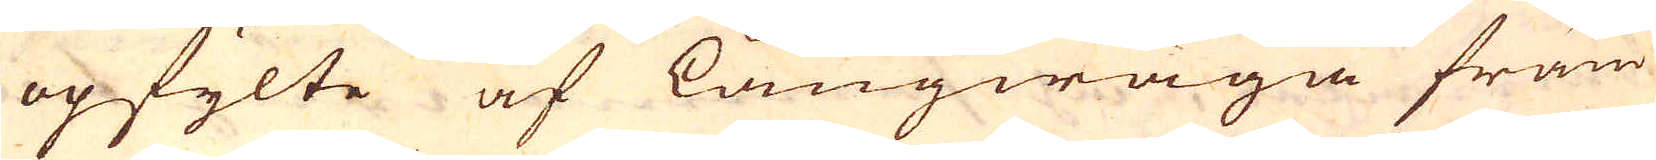opfylte af långwäga främ-
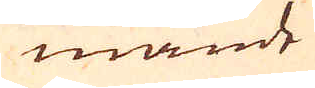mande
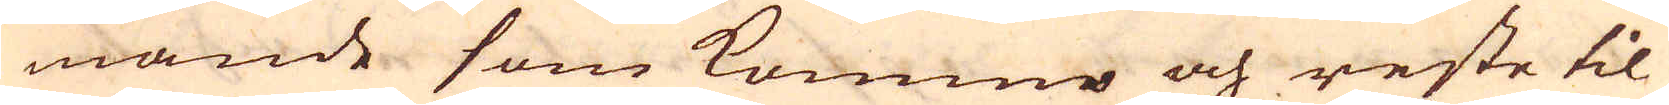mande som kommo och reste til
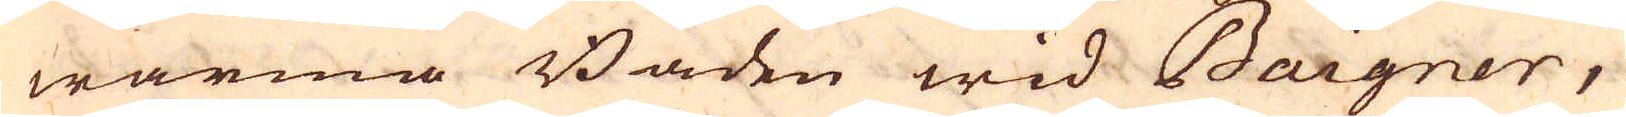warma Baden wid Baigner,
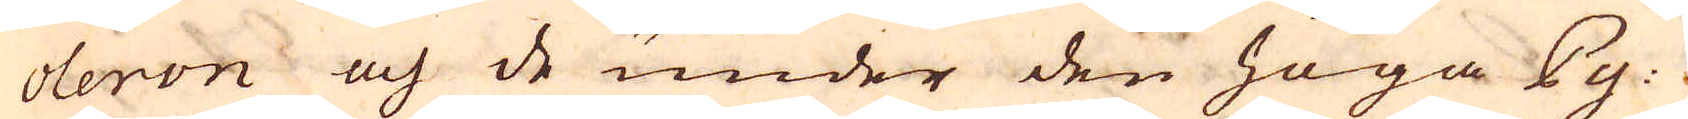oleron och de under den höga Py-
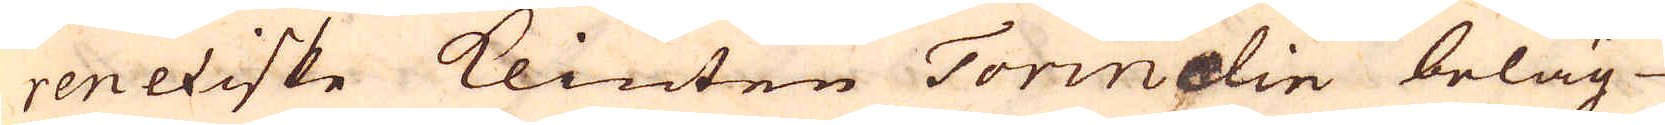reneiske klinten Torinelin beläg-
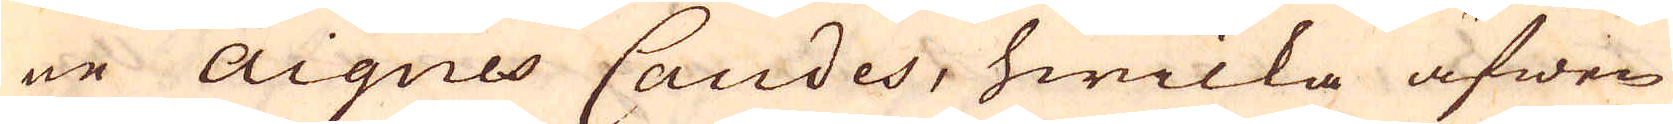ne Aiques Candes, hwilka äfwen
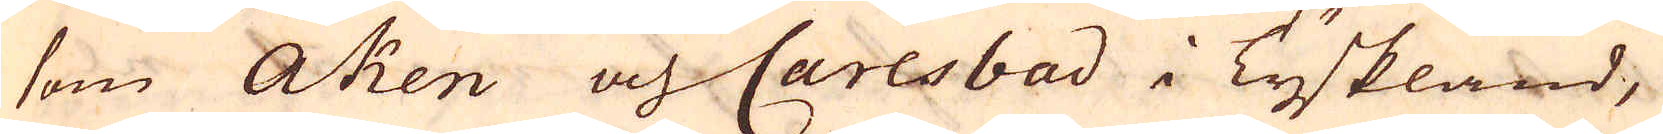som Aken och Carlsbad i Tyskland,
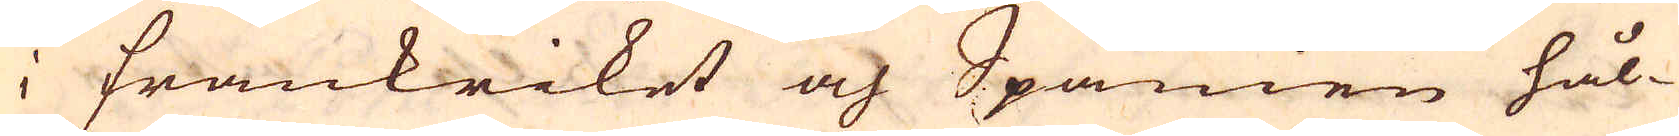i Frankriket och Spanien hål-
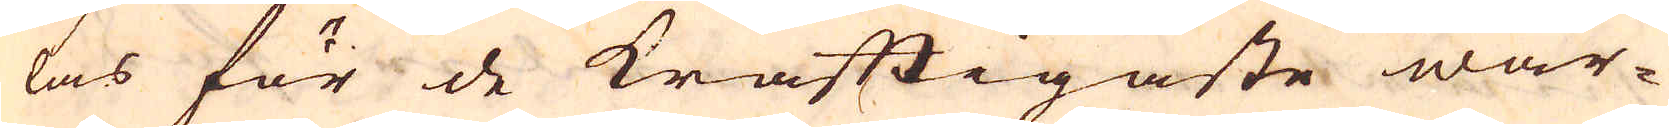las för de kraftigaste war-
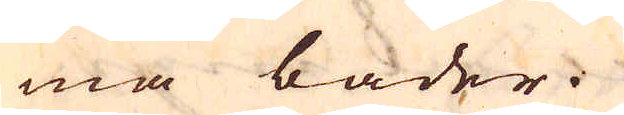ma bader.
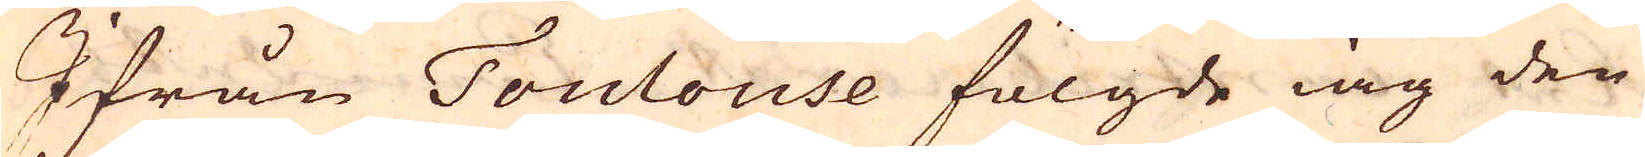Ifrån Toulouse fölgde iag den
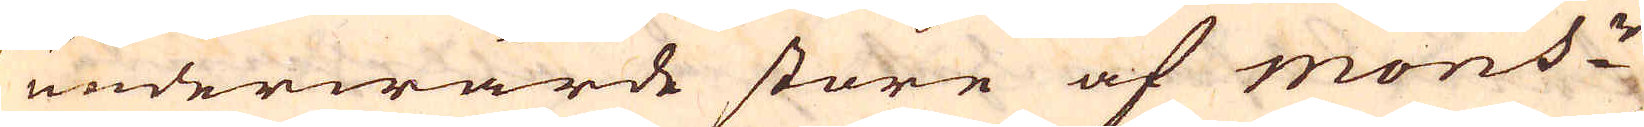underwärde store af mons:r
